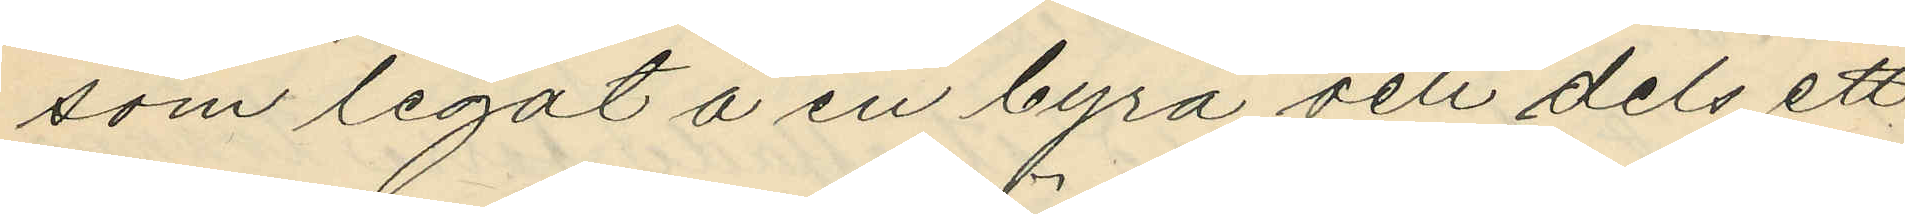som legat å en byrå och dels ett
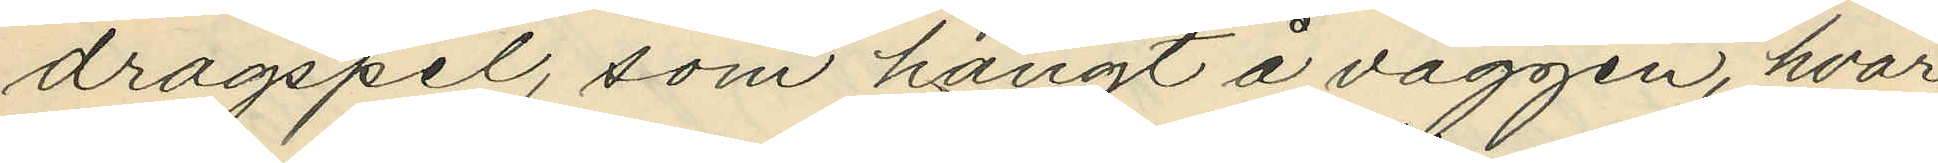dragspel, som hängt å väggen, hvar¬
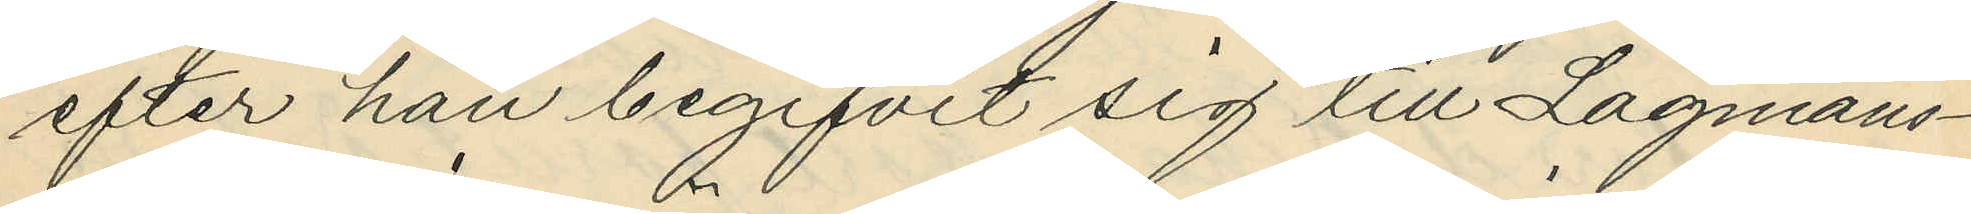efter han begifvit sig till Lagmans¬
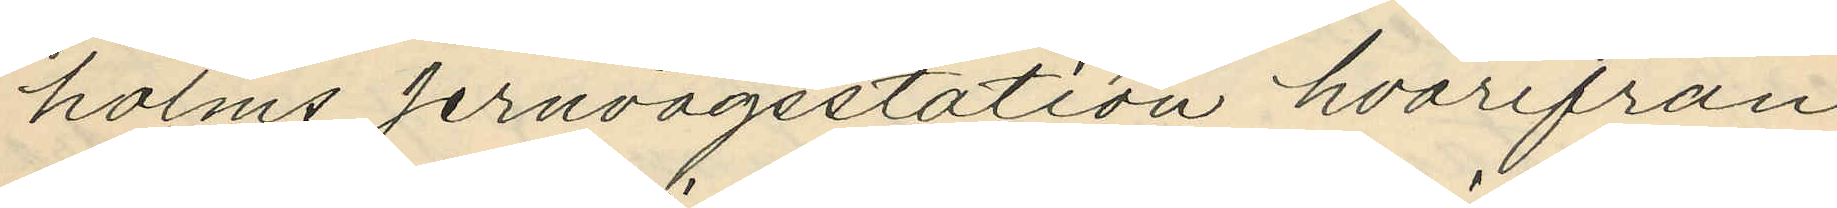holms jernvägsstation hvarifrån
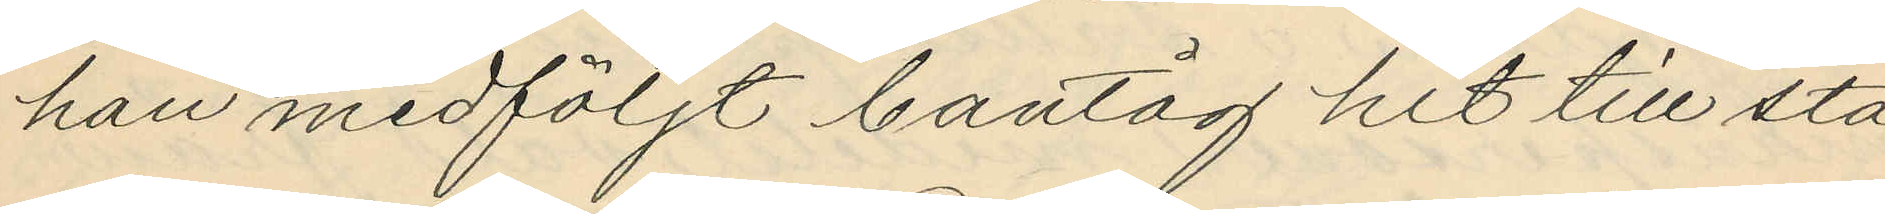han medföljt bantåg hit till sta¬
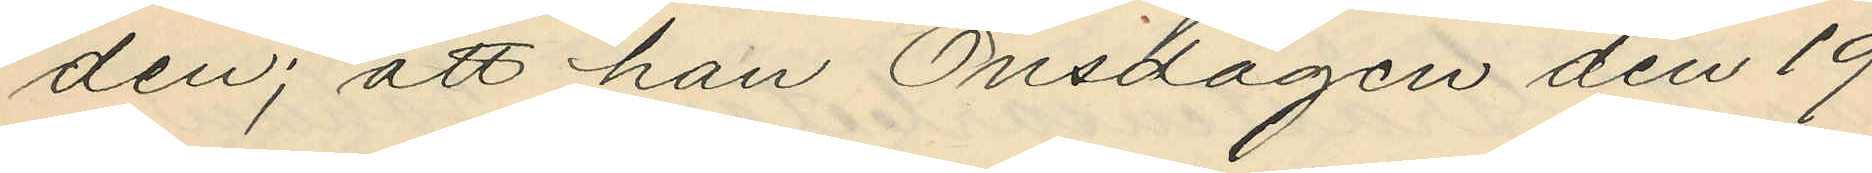den; att han Onsdagen den 19
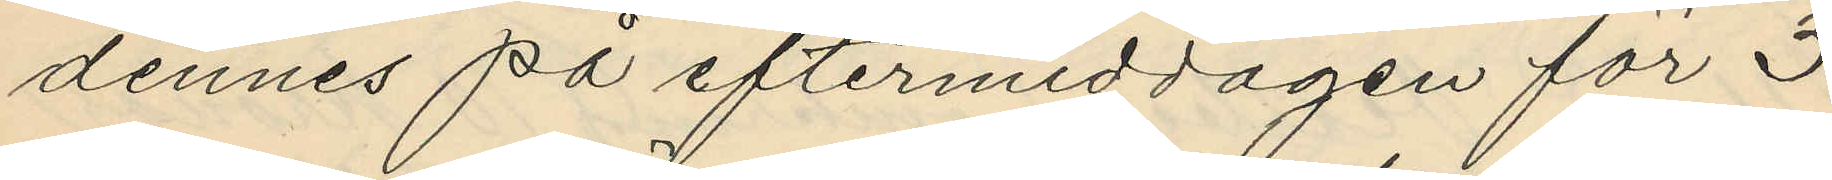dennes på eftermiddagen för 3
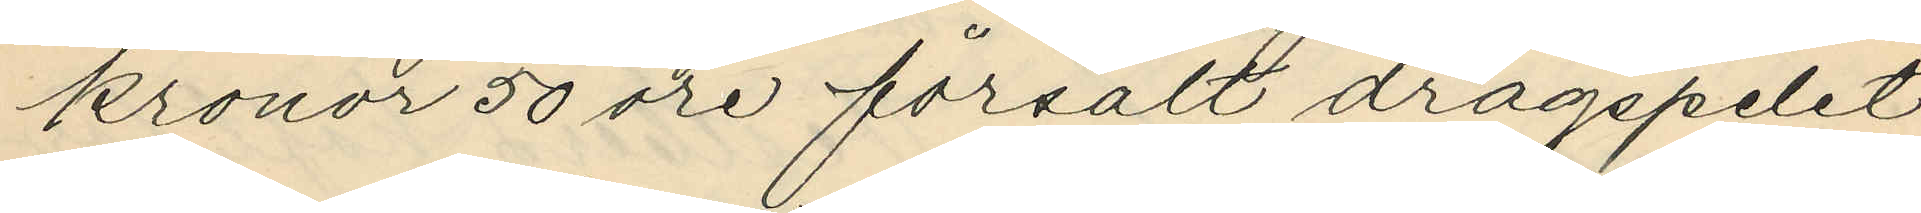kronor 50 öre försålt dragspelet
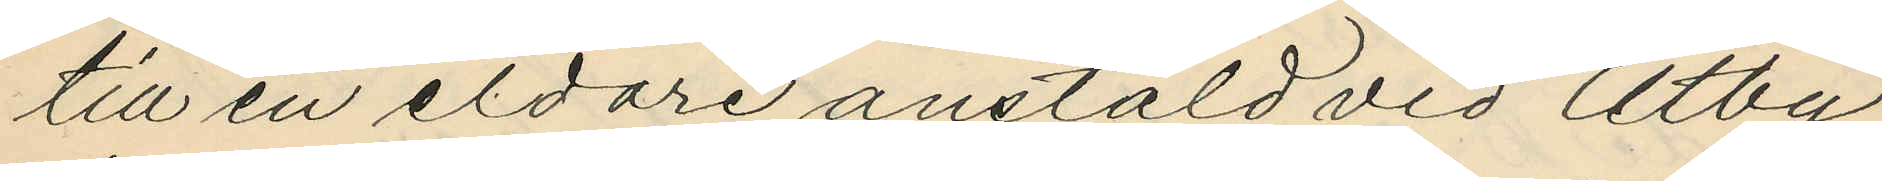till en eldare anstäld vid Utby
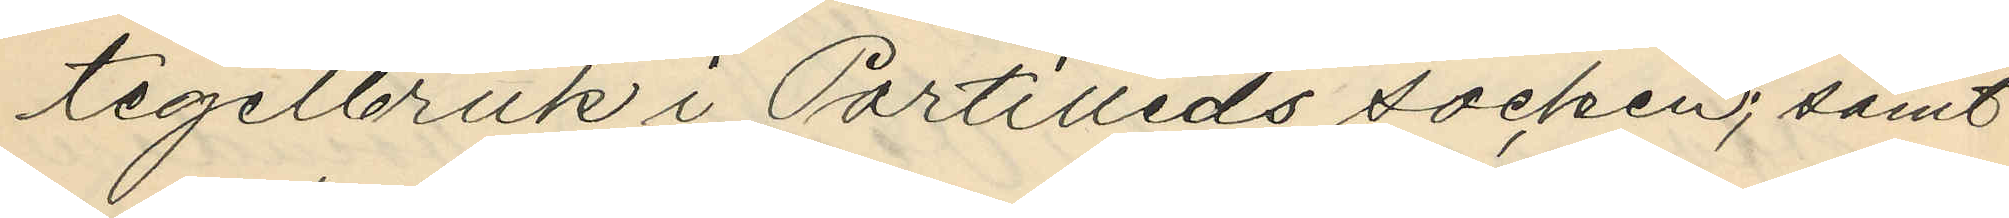tegelbruk i Partilleds socken; samt
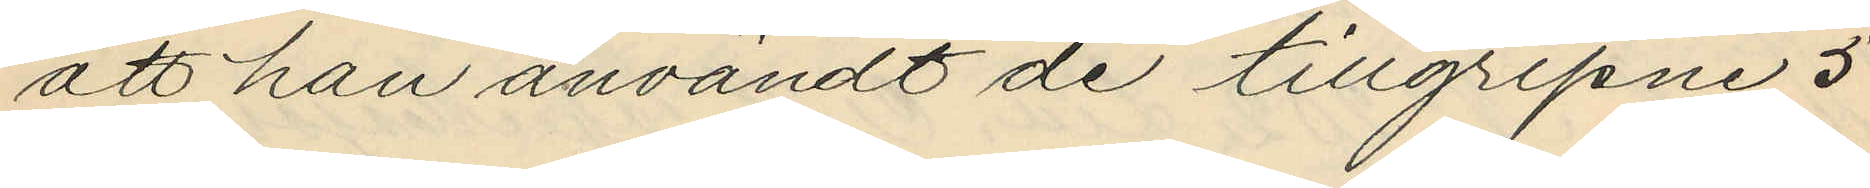att han användt de tillgripne 5
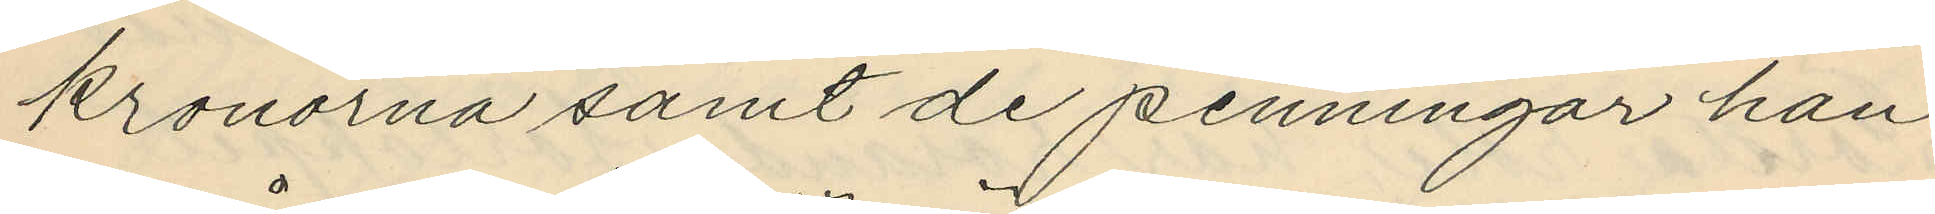kronorna samt de penningar han
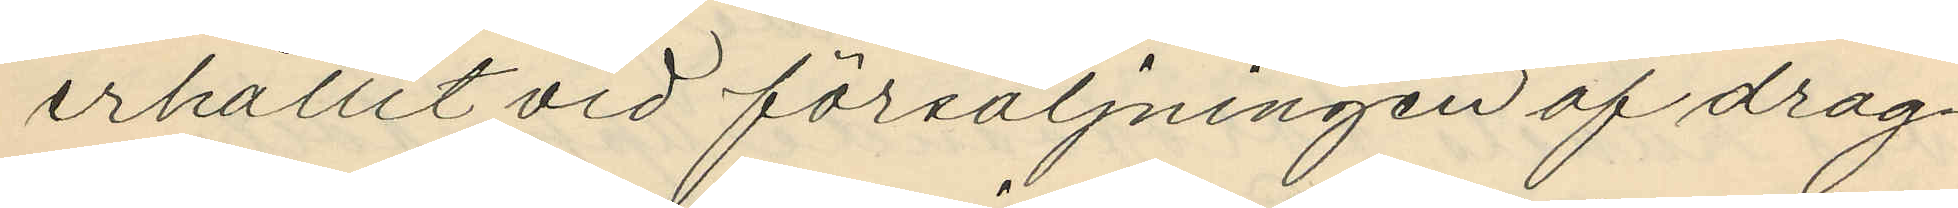erhållit vid försäljningen af drag¬
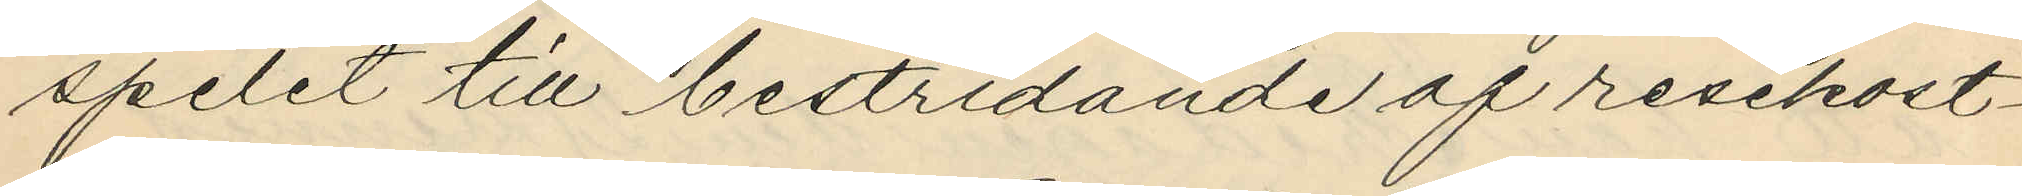spelet till bestridande af resekost¬
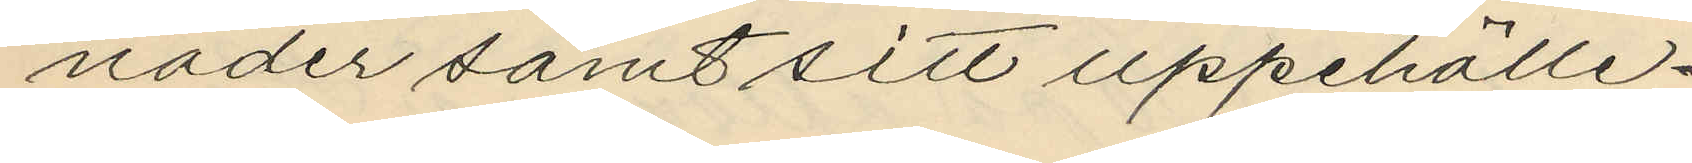nader samt sitt uppehälle.
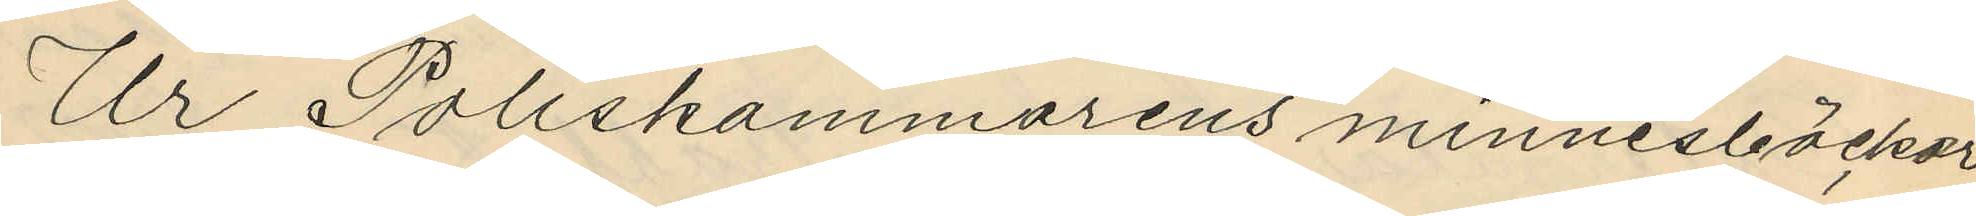Ur Poliskammarens minnesböcker
